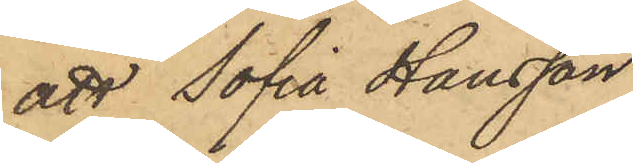att Sofia Hansson
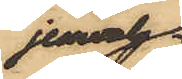jemväl
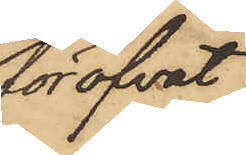föröfvat
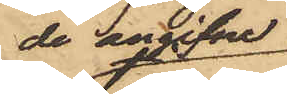de angifne
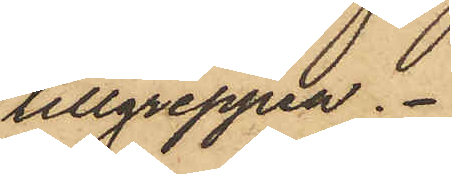tillgreppen.
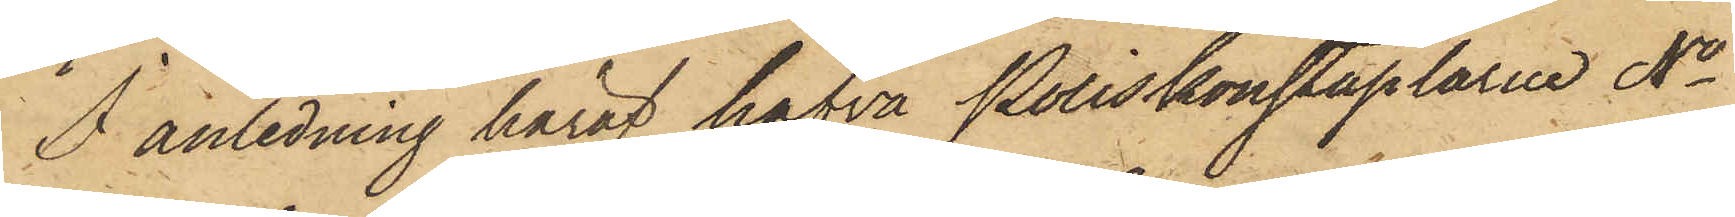I anledning häraf hafva Poliskonstaplarne No
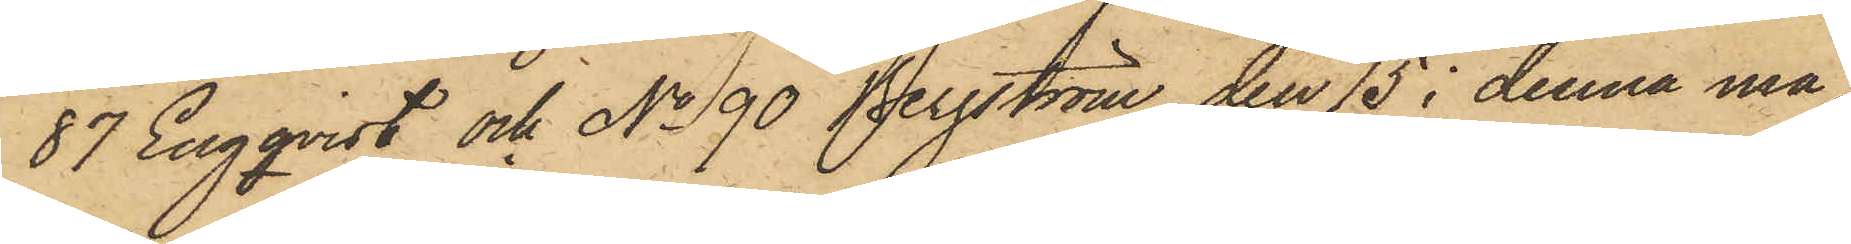87 Engqvist och No 90 Bergström den 15 i denna må¬
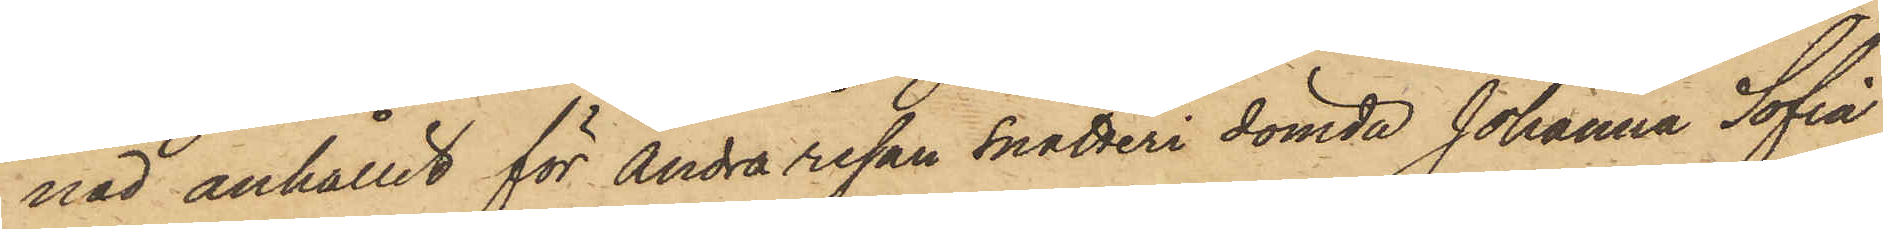nad anhållit för Andra resan snatteri dömda Johanna Sofia
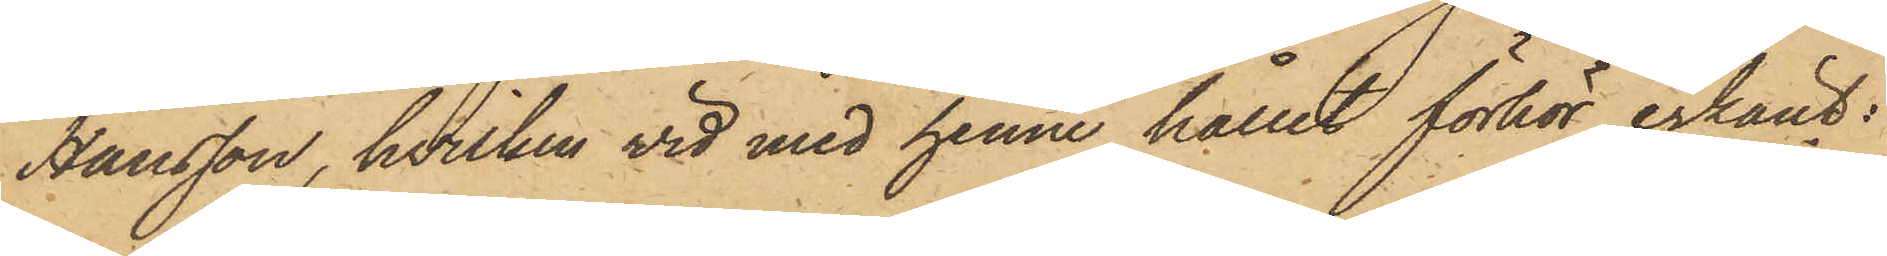Hansson, hvilken vid med henne hållet förhör erkänt:
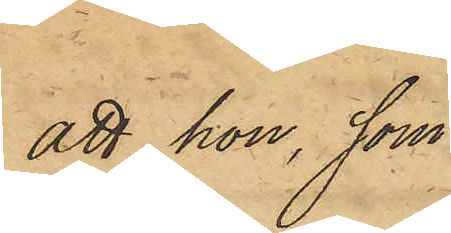att hon, som
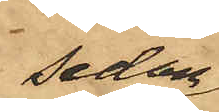sedan
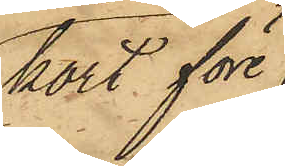kort före
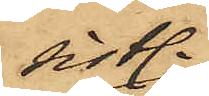sistl.
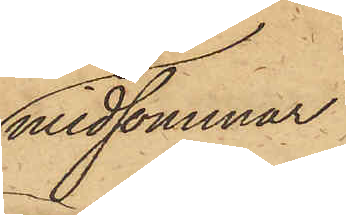midsommar
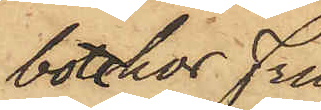bott hos Fru
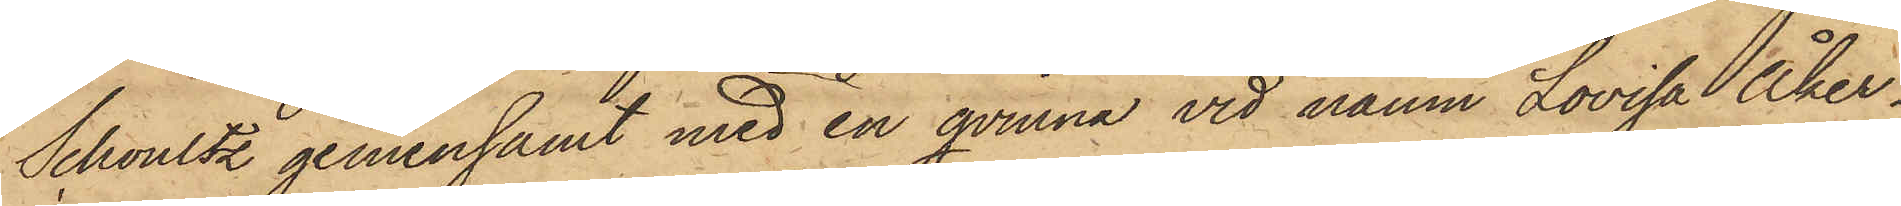Schoultz gemensamt med en qvinna vid namn Lovisa Åker¬
